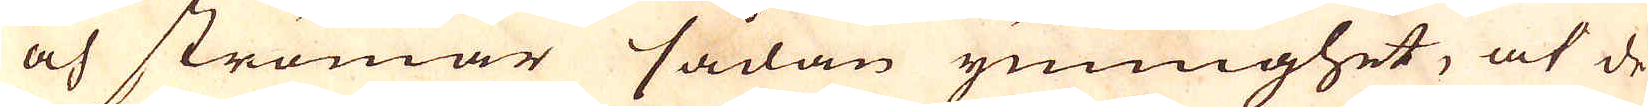och strömar sådan ymnighet, at de
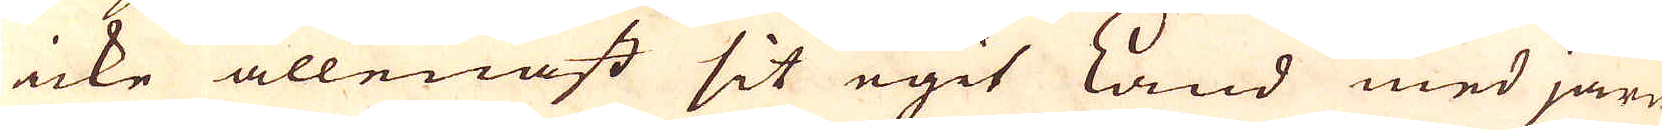icke allenast sit egit Land med järn
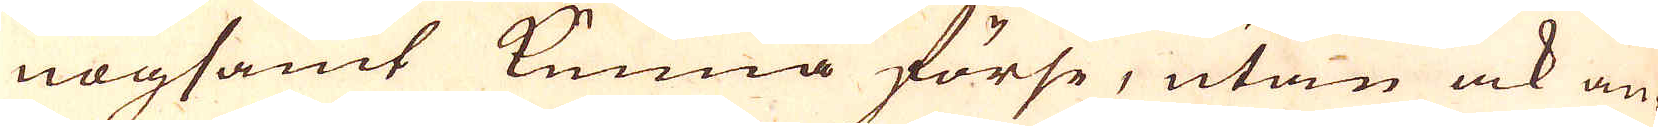nogsamt kunna förse, utan ock an-
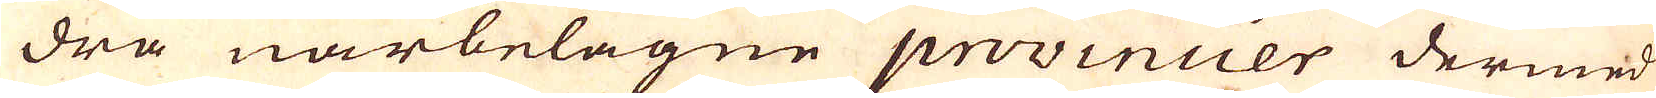dra närbelägne povincer dermed
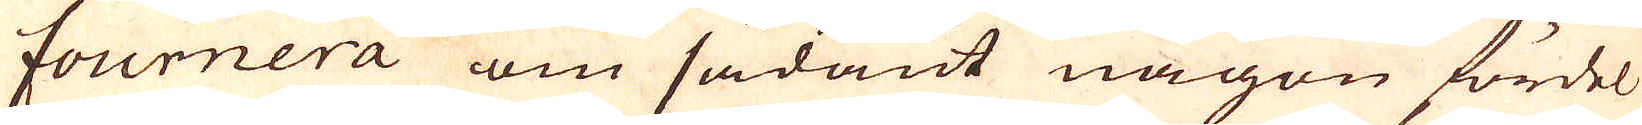fournera om sådant någon fördel
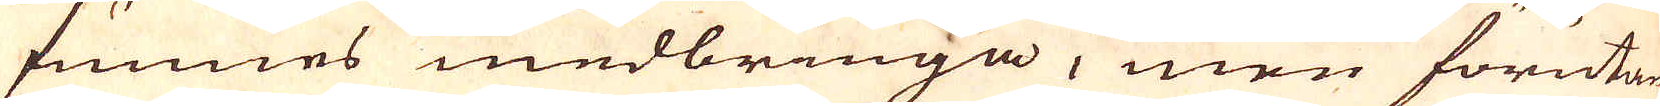funnes medbringa, men förutan
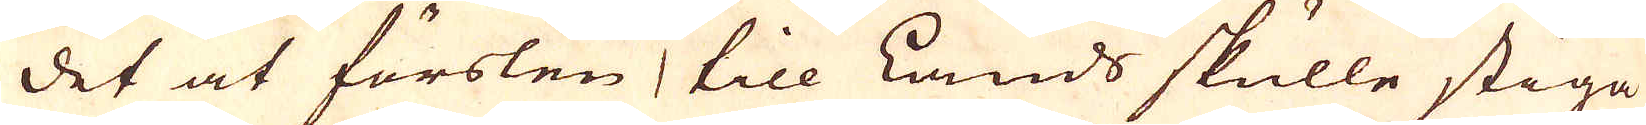det at förslen till Lands skulle stiga
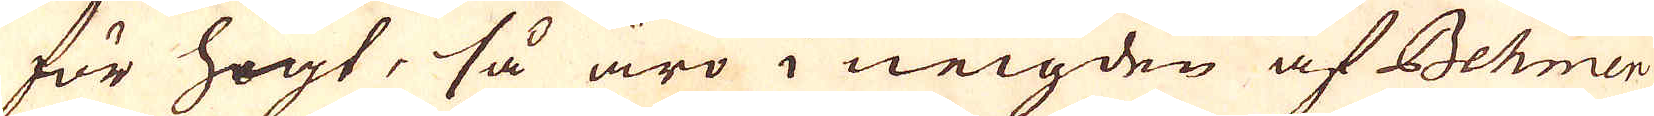för högt, så äro i neigden af Behmen,
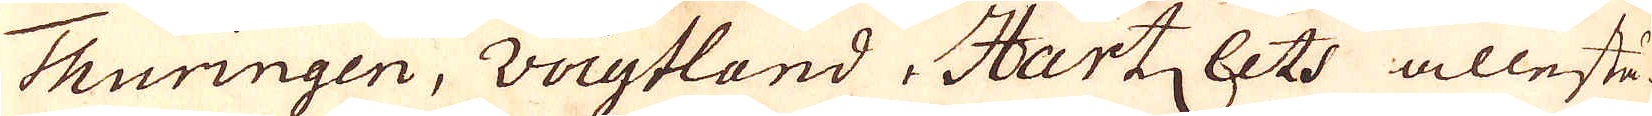Thuringen, Voigtland, Hartz lets allestä-
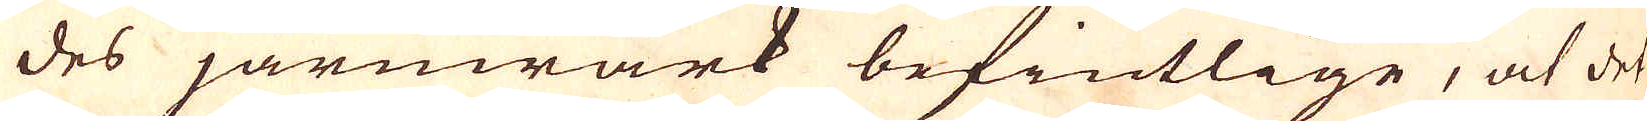des järnwärk befintelige, at det
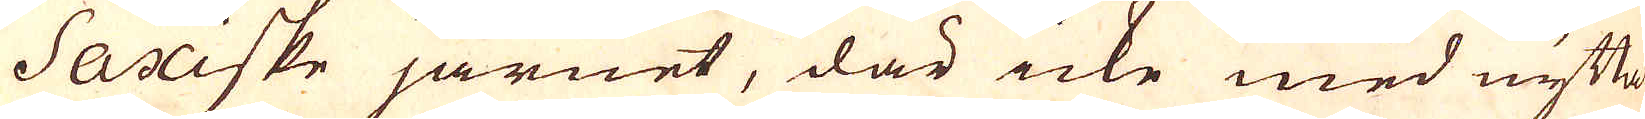Saxiske järnet, där icke med nytta
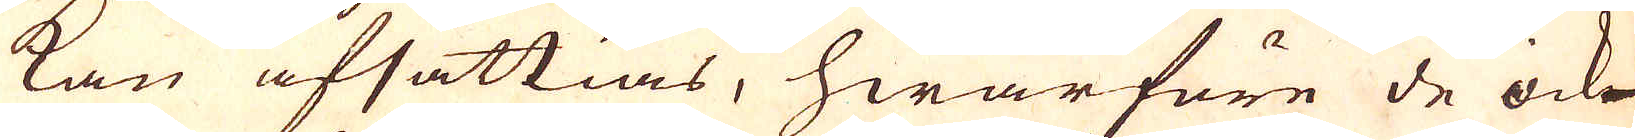kan afsättias, hwarföre de icke
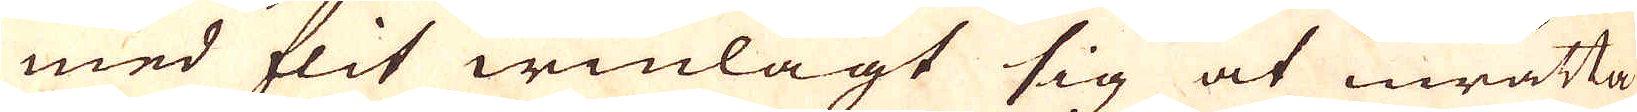med flit winlagt sig at innrätta
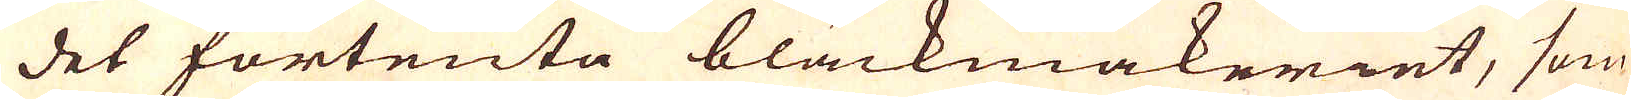det förtenta bläckmakeriet, som
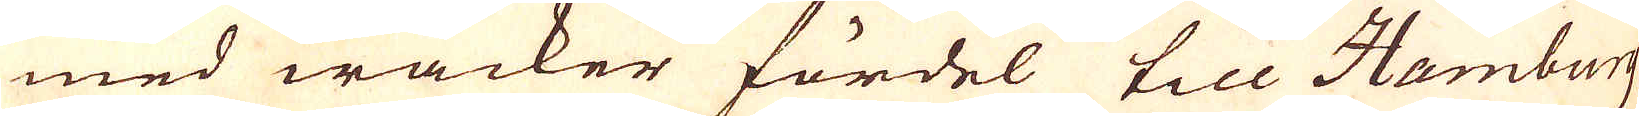med wacker fördel till Hamburg
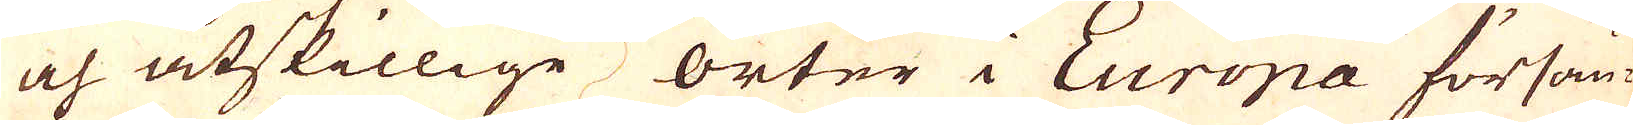och åtskillige orter i Europa försän-
